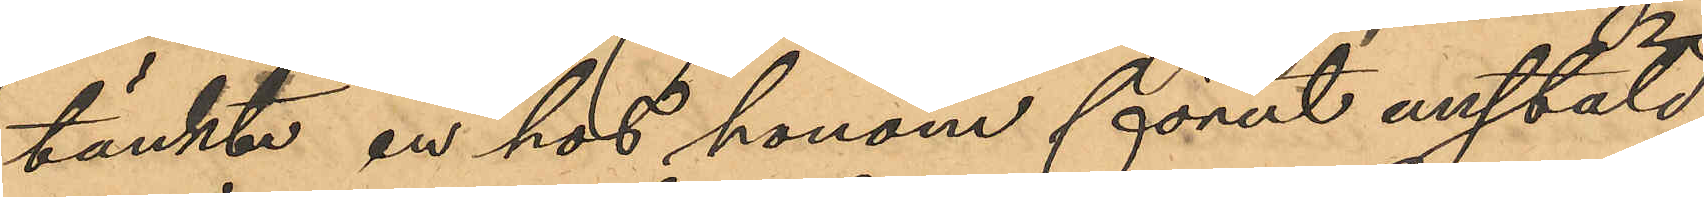tänkte en hos honom förut anstäld
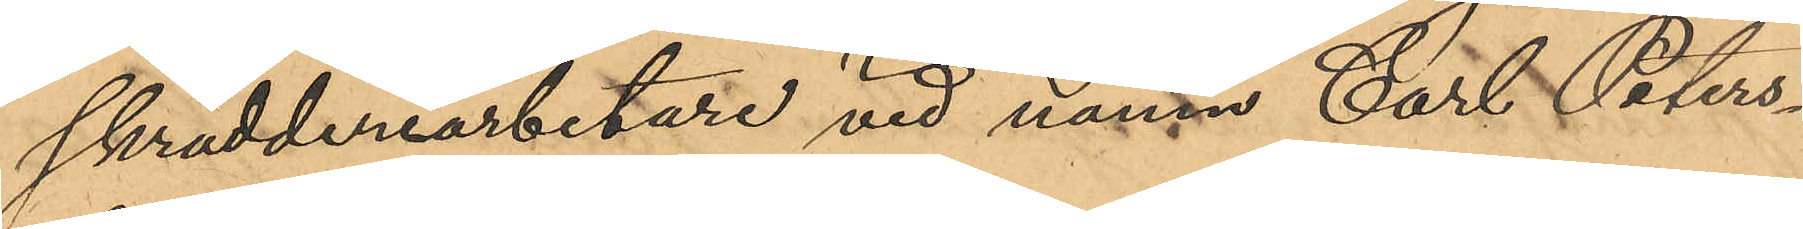skrädderiarbetare vid namn Carl Peters¬
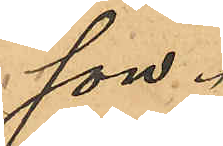son.
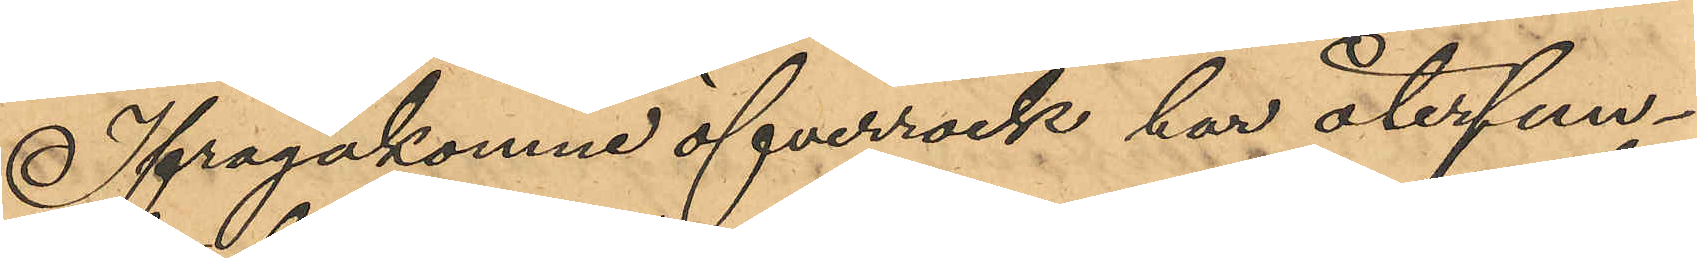Ifrågakomne öfverrock har återfun¬
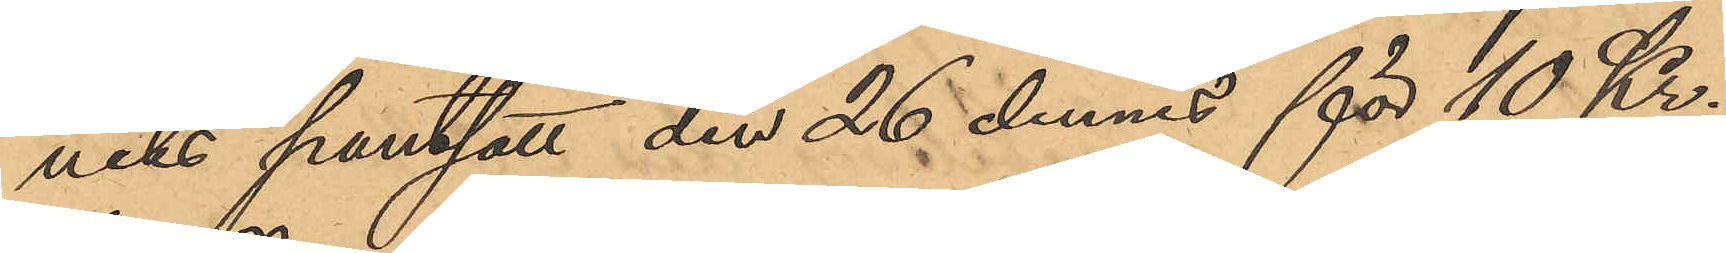niks pantsatt den 26 dennes för 10 Kr.
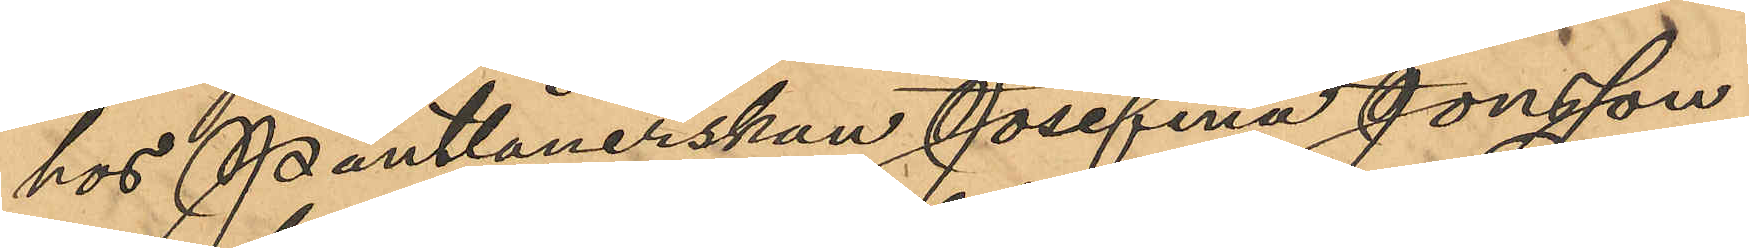hos Pantlånerskan Josefina Jonsson
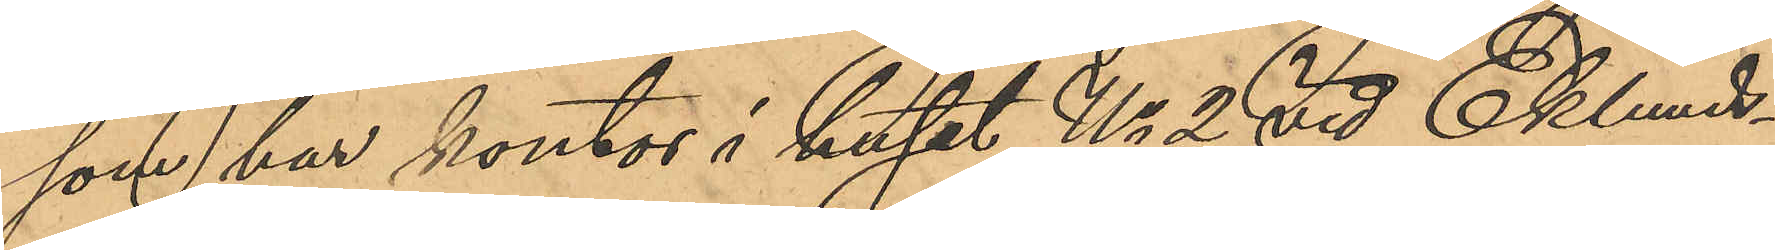som har kontor i huset No 2 vid Eklunds¬
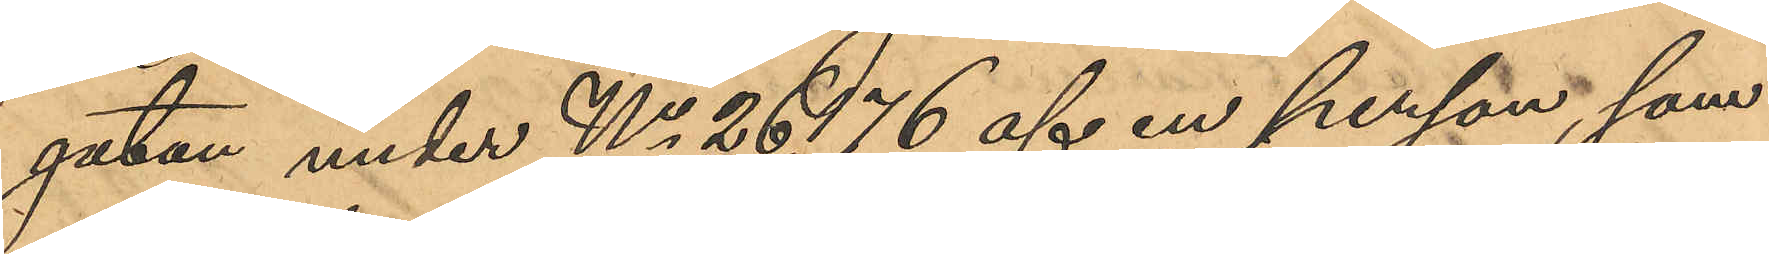gatan under No 26,176 af en person, som
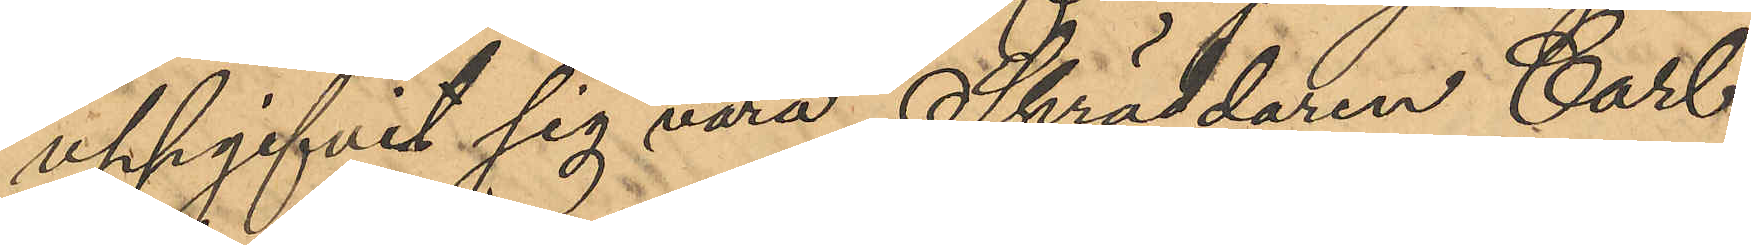uppgifvit sig vara Skräddaren Carl
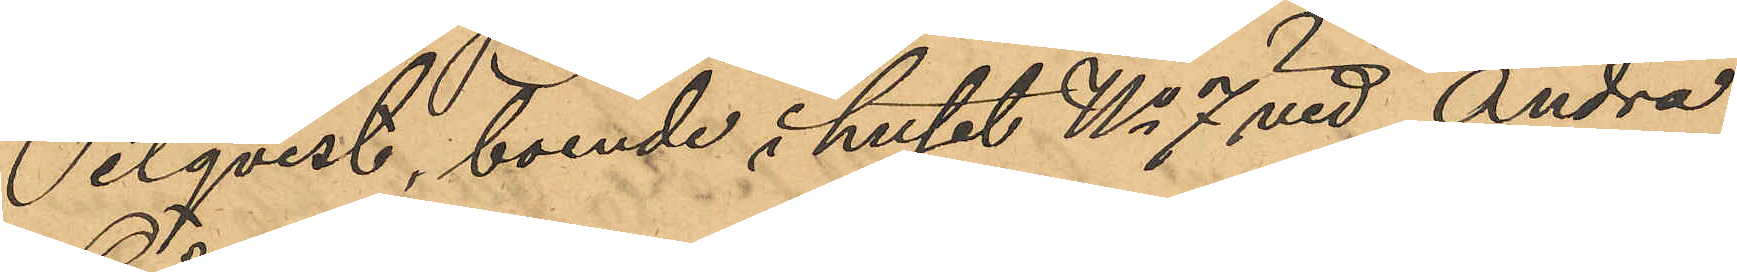Pilqvist, boende i huset No 7 vid Andra
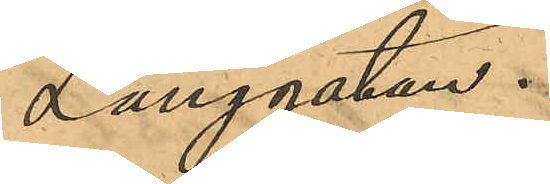Långgatan.
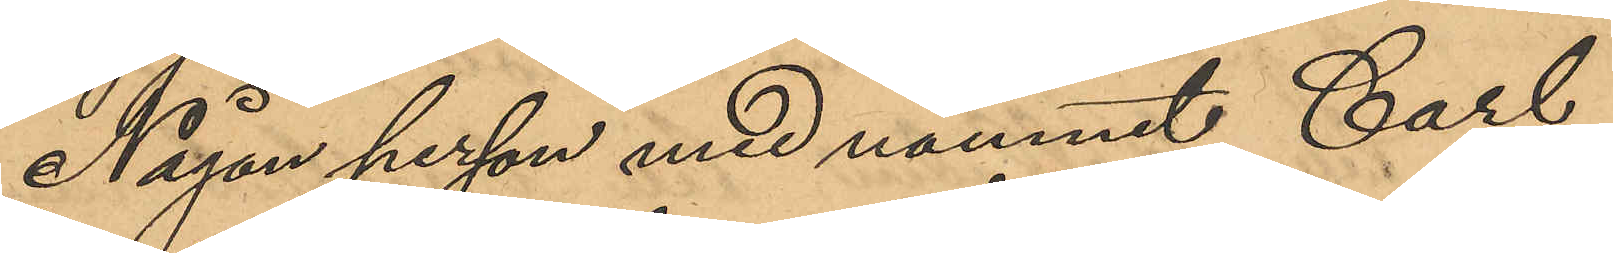Någon person med namnet Carl
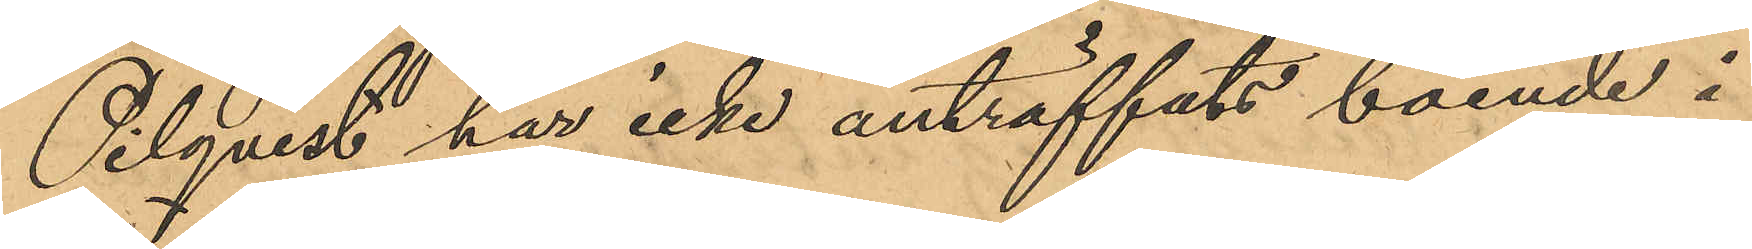Pilqvist har icke anträffats boende i
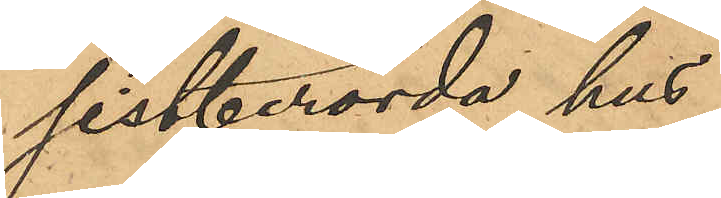sistberörda hus.
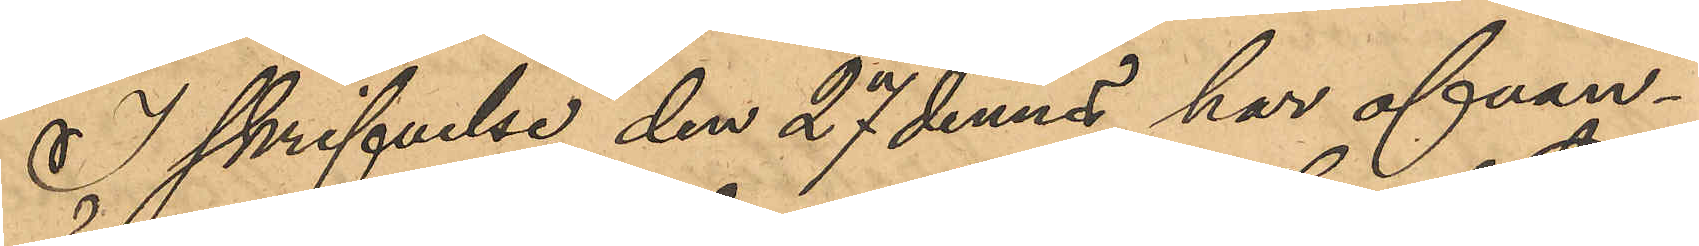I skrifvelse den 27 dennes har ofvan¬
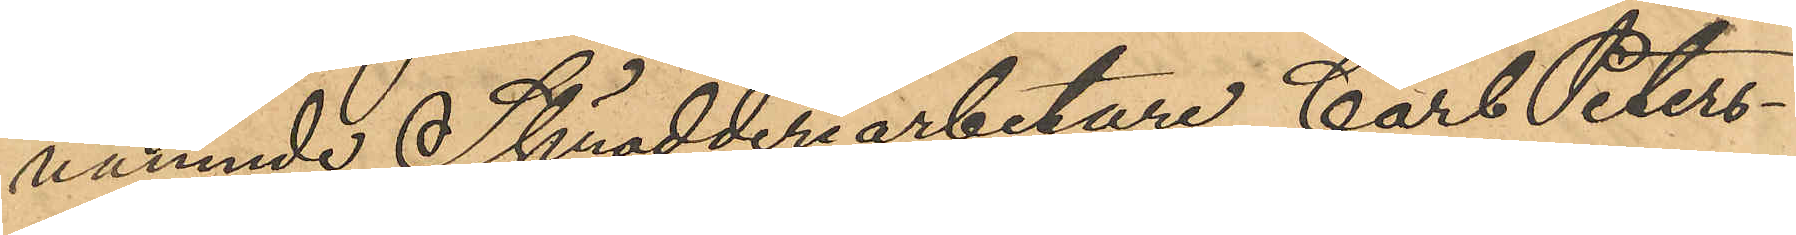nämmnde Skrädderiarbetare Carl Peters¬
